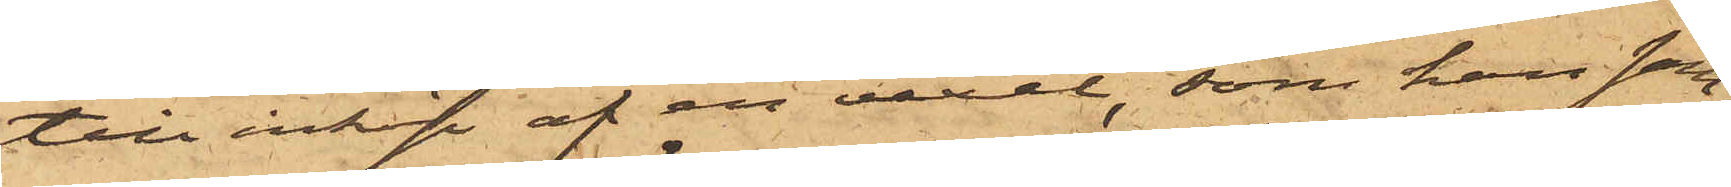till inköp af en vexel, som han sam¬
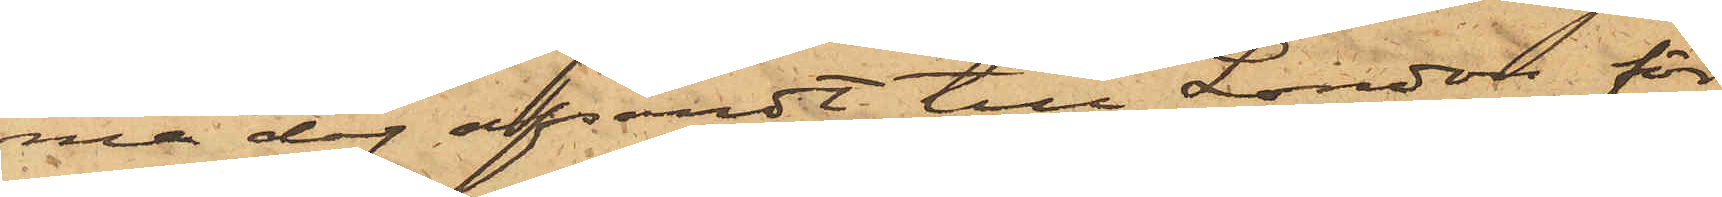ma dag afsändt till London för
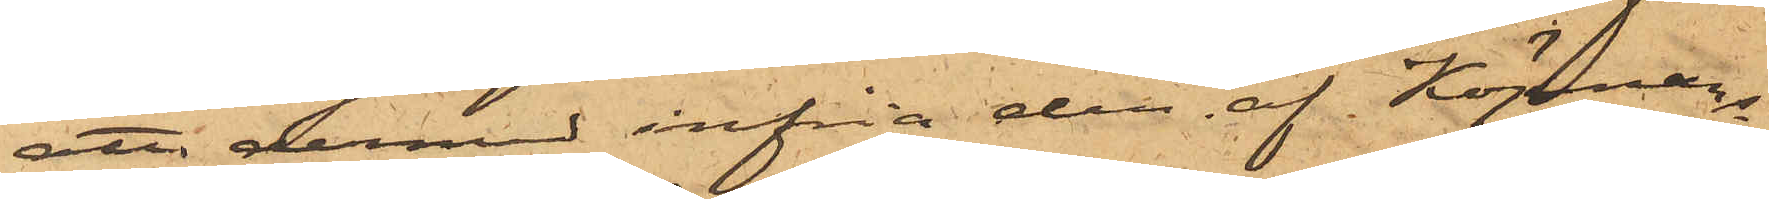att dermed infria den af Köpmans¬
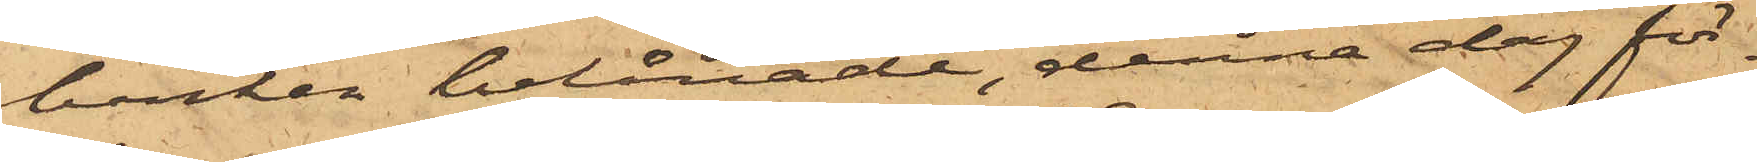banken belånade, denna dag för¬
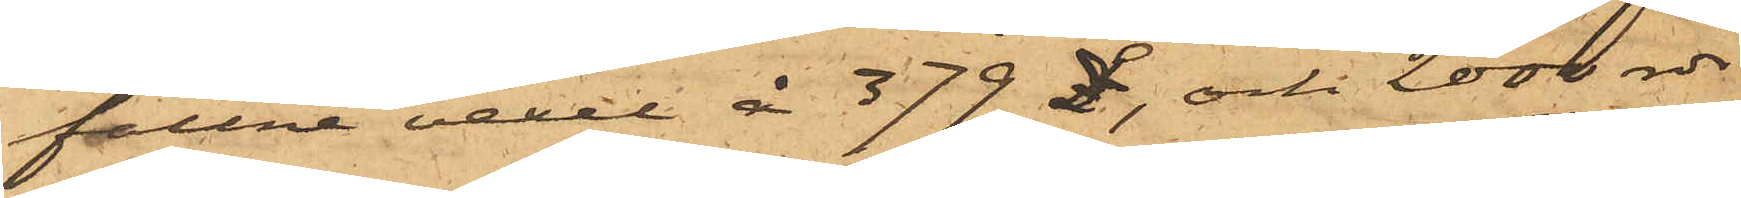fallne vexel  å 379£, och 2000 rdr
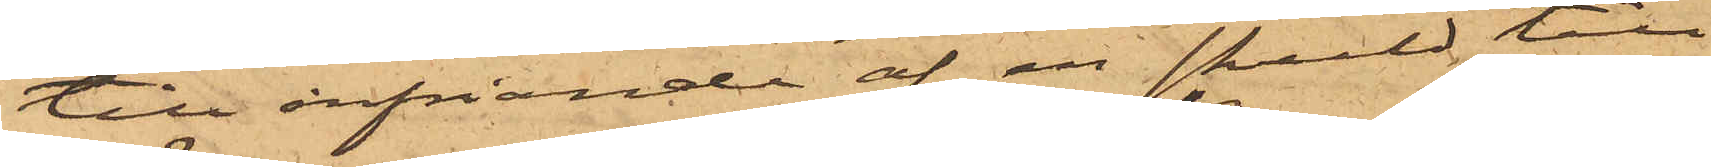till infriande af en skuld till
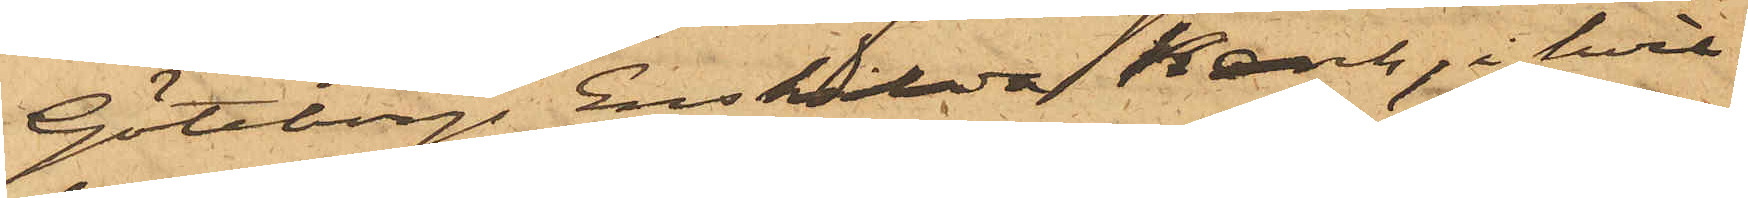Göteborgs Enskilda Bank, i i hvil¬
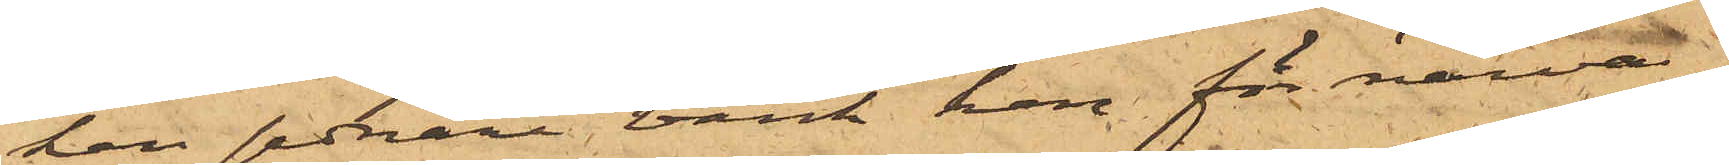ken sednare bank han för närva¬
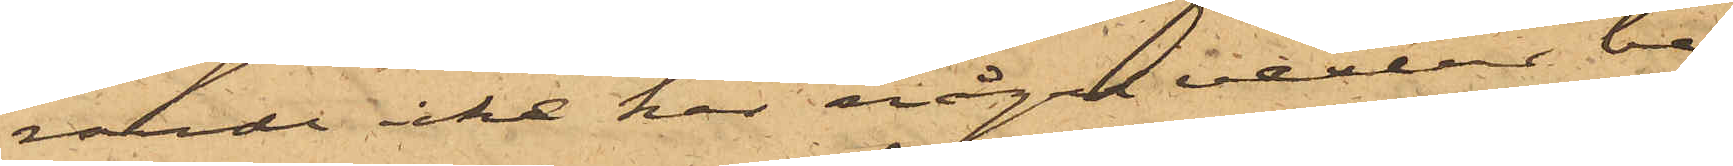rande icke har några vexlar be¬
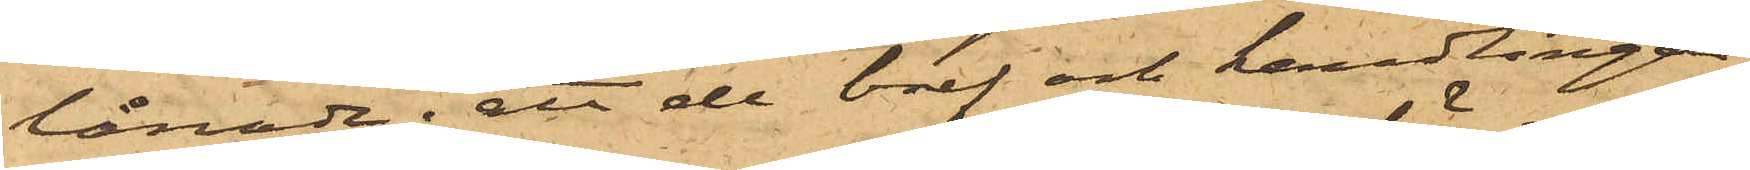lånade; att de bref och handlingar,
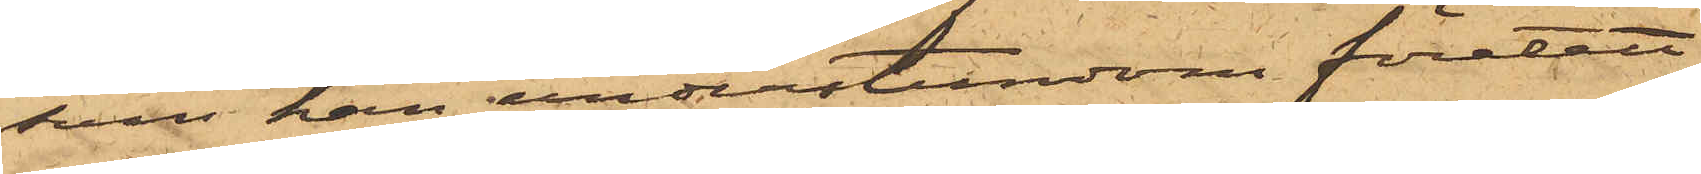som han understundom företett
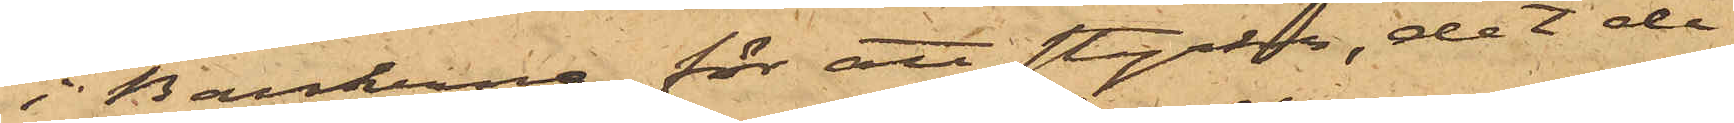i Bankerna för att styrka, det de
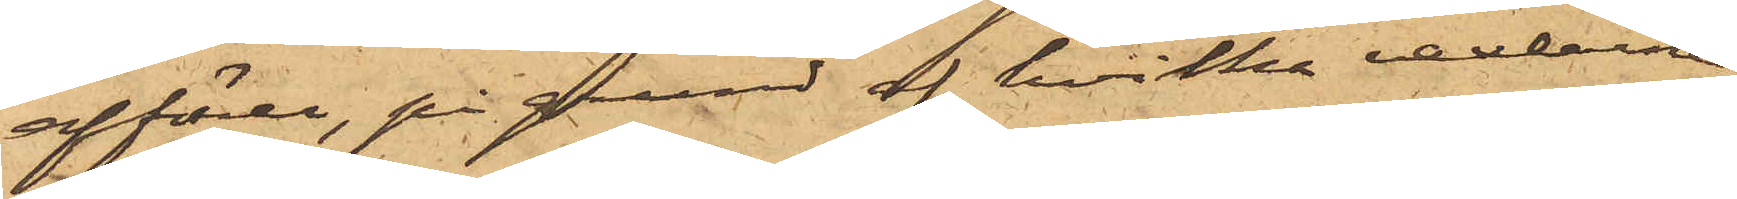affärer, på grund af hvilka vexlarne
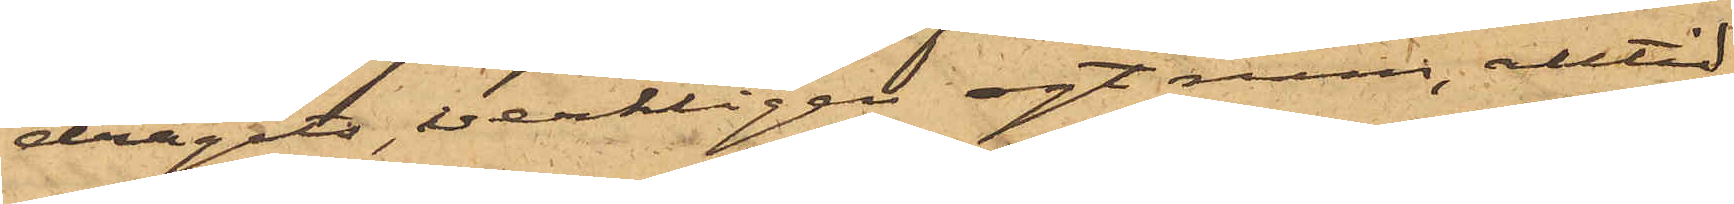dragits, verkligen egt rum, alltid
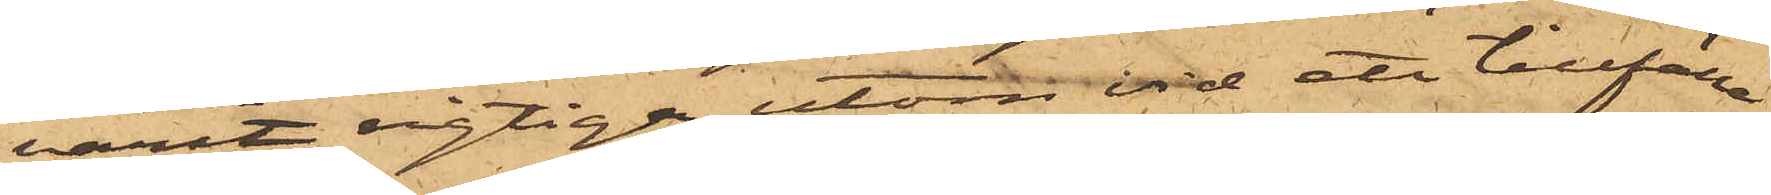varit rigtiga, utom vid ett tillfälle
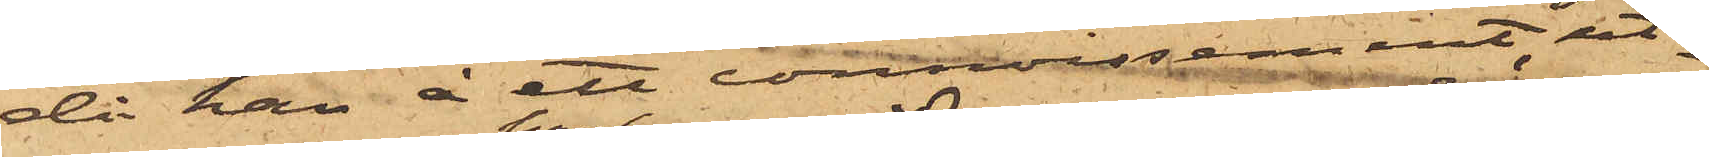då han å ett connossement, ut¬
